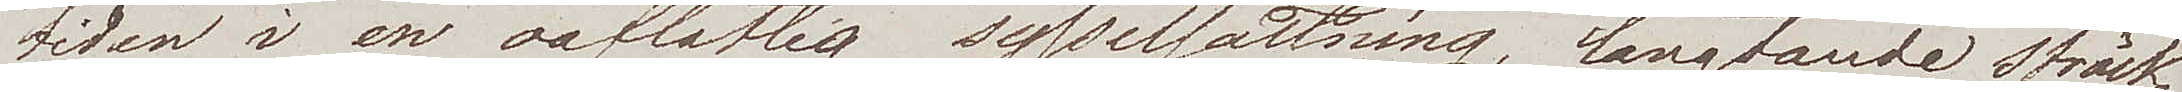tiden i en oaflåtlig sysselsättning, längtande sträck¬
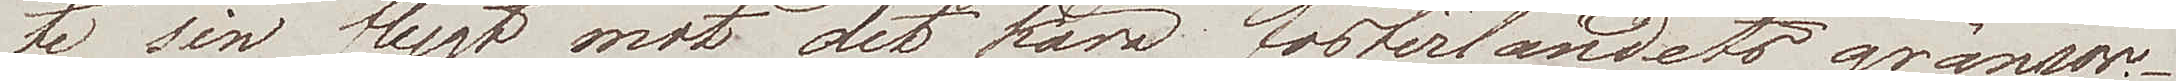te sin flygt mot det kära fosterlandets gränser.
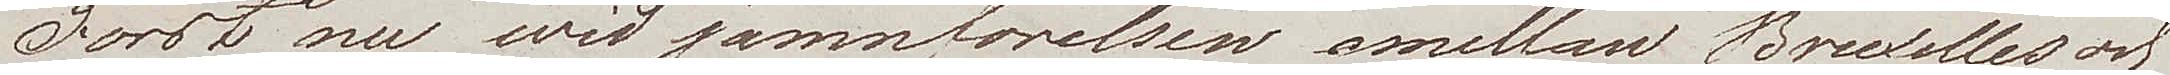Först nu wid jämförelsen emellan Bruxelles och
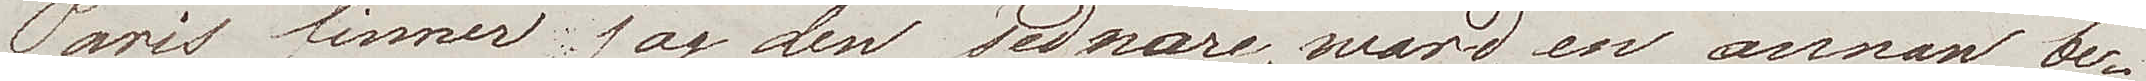Paris finner jag den sednare, wärd en annan be¬
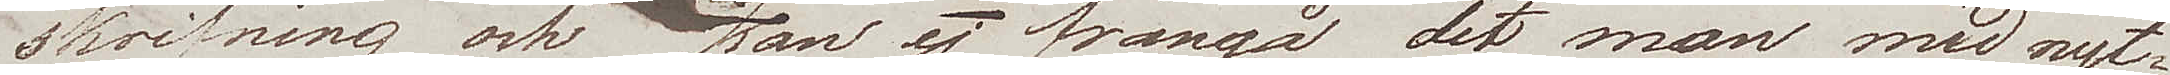skrifning och kan ej frångå det man med nyt¬
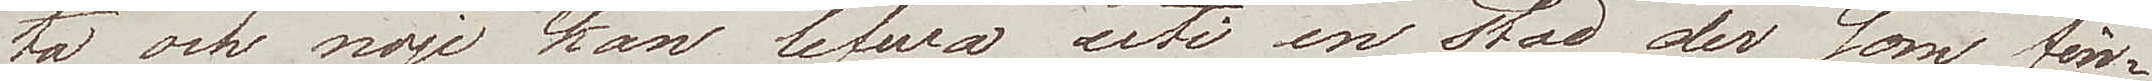ta och nöje kan lefwa uti en stad dersom fin¬
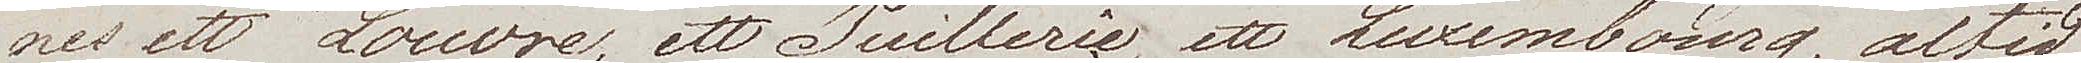nes ett Louvre, ett Tuillerie, ett Luxembourg, altid
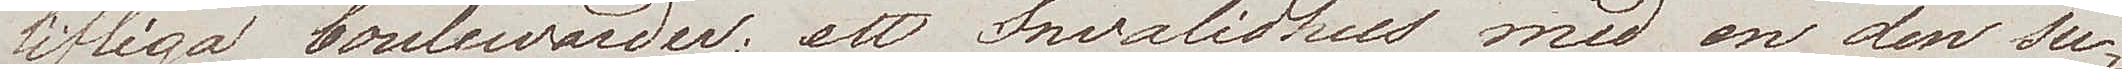lifliga boulewarder; ett Invalidhus med en den su¬
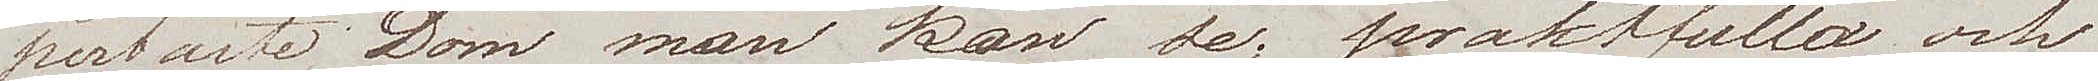perbaste Dom man kan se; praktfulla och
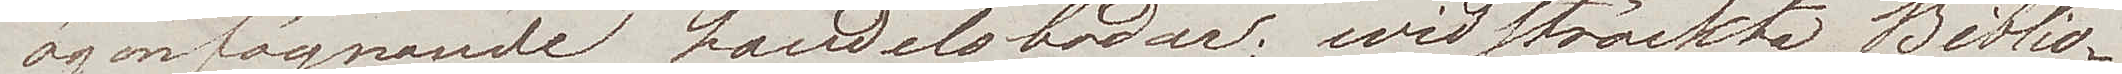ögonfägnande handelsbodar; widsträckta Biblio¬
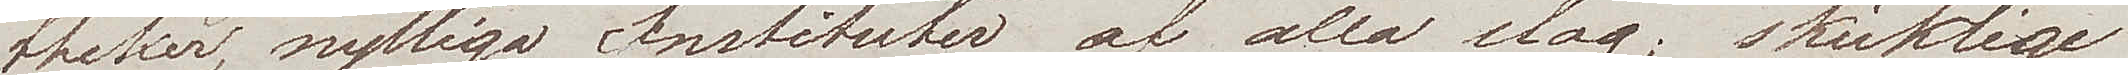theker, nyttiga Instituter af alla slag; skicklige
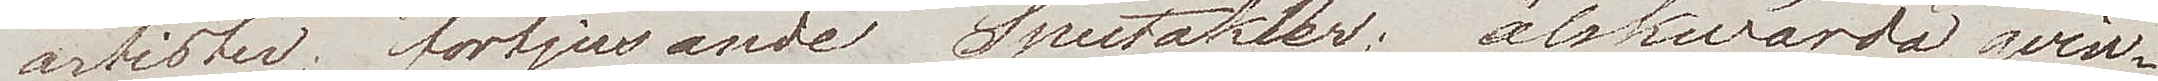artister, förtjusande Spectakler; älskwärda qvin¬
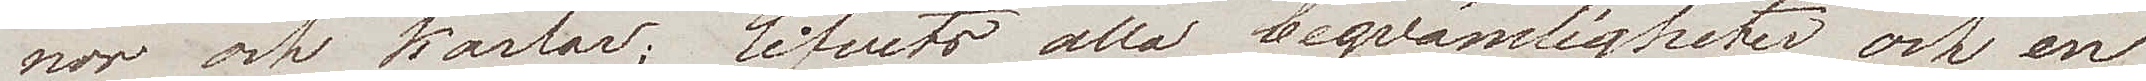nor och karlar; lifvets alla beqvämligheter och en
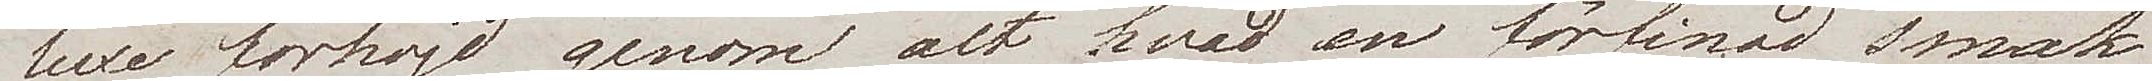luxe förhöjd genom alt hvad en förfinad smak
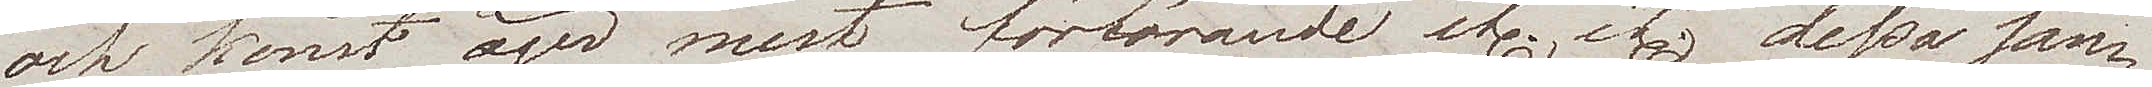och konst äger mest förförande etc. etc. dessa san¬
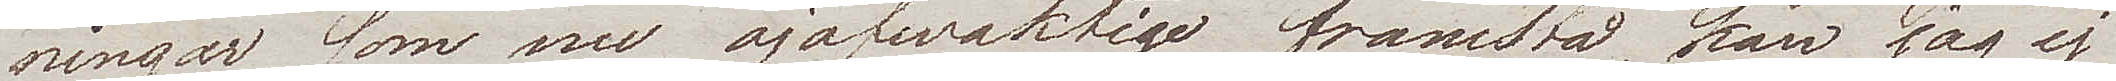ningar som nu ojäfwaktigt framstå, kan jag ej
